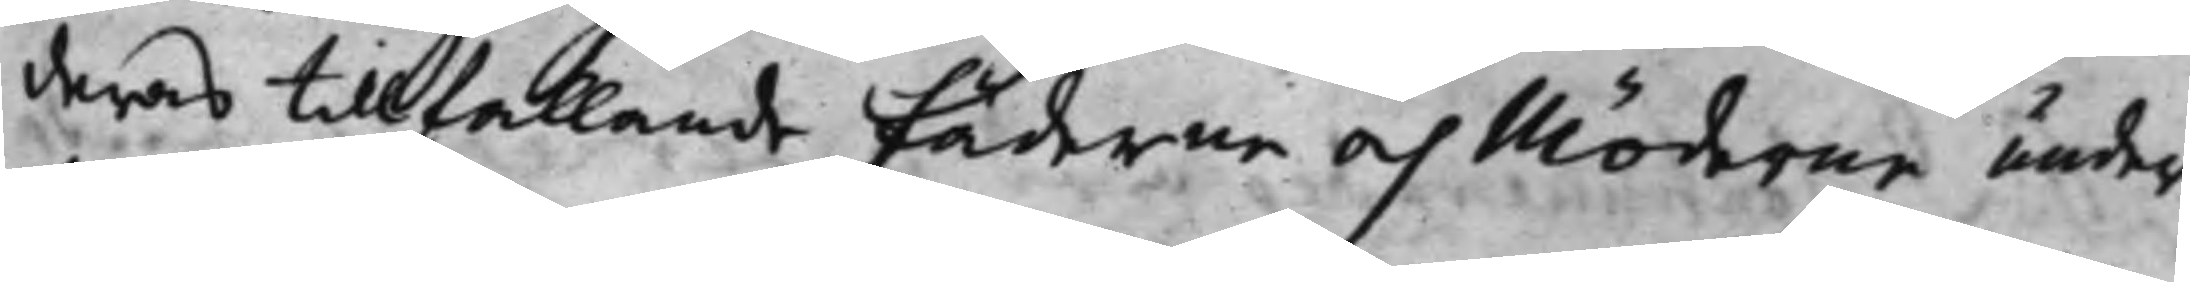deras tillfallande Fädrar och Mödrar under
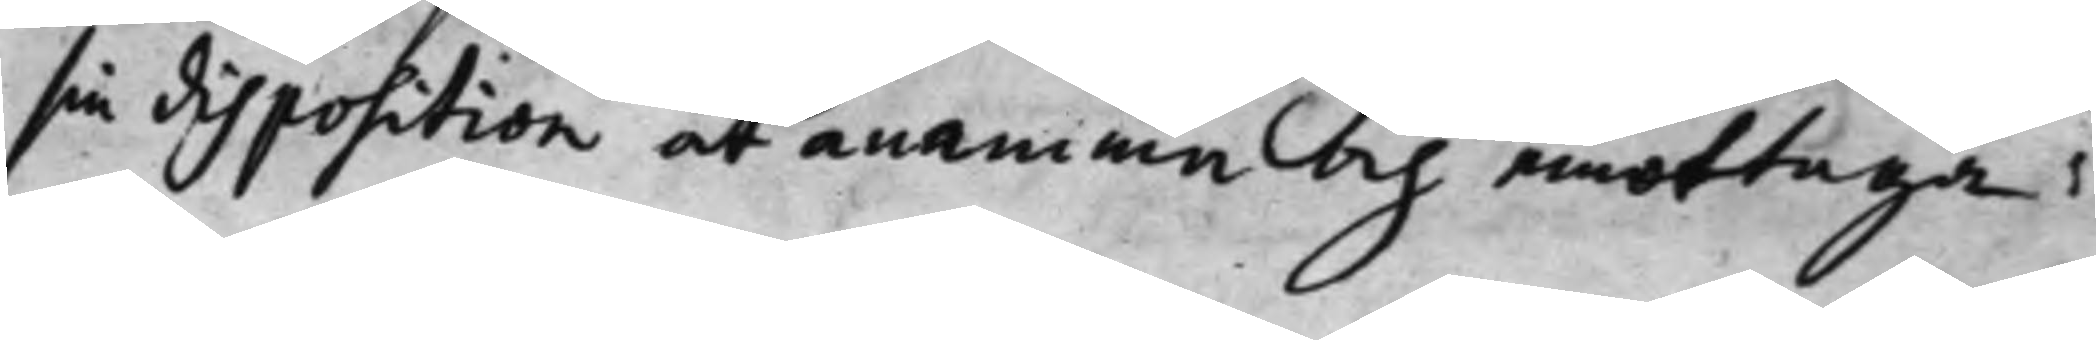sin disposition at anamma och emottaga;
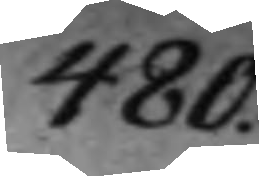480.
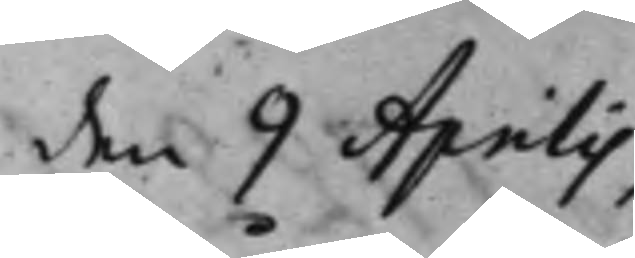den 9 Aprilis
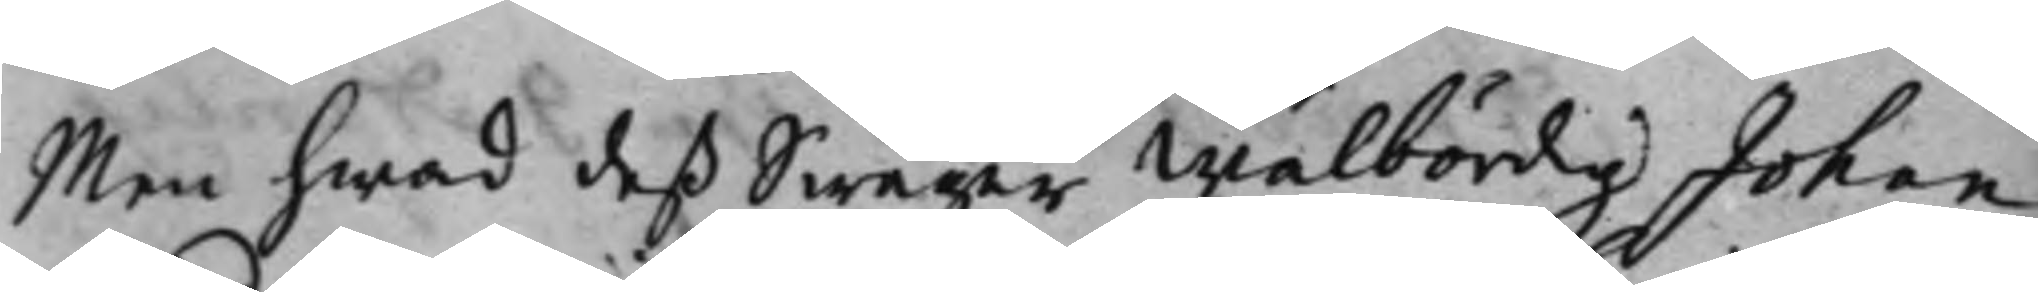Men hwad deß Swåger Wälbördig Johan
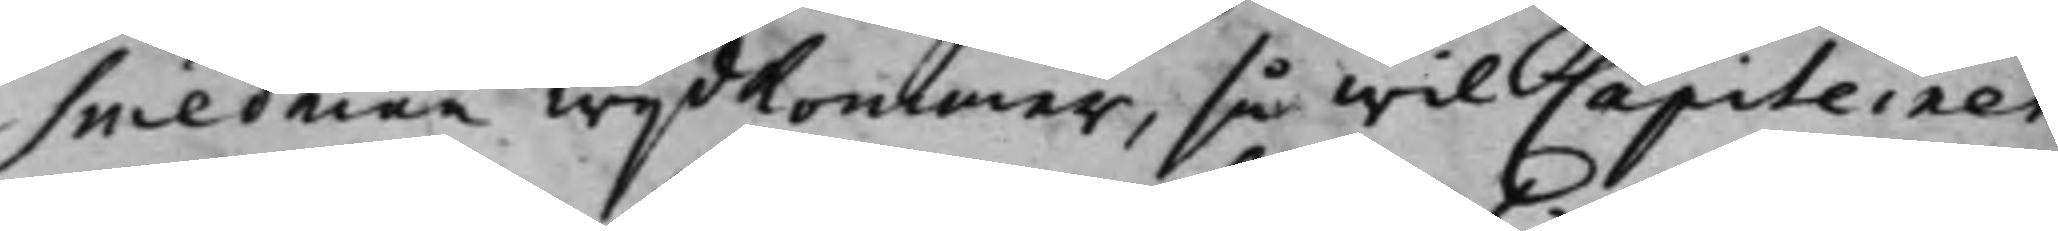Smedman wijdkommer, så wil Capiteinen
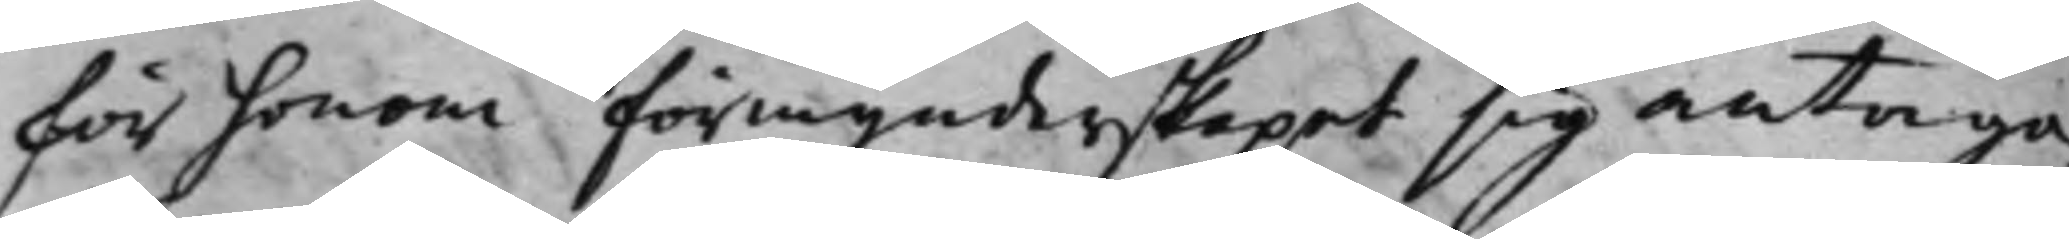för honom förmynderskapet sig antaga,
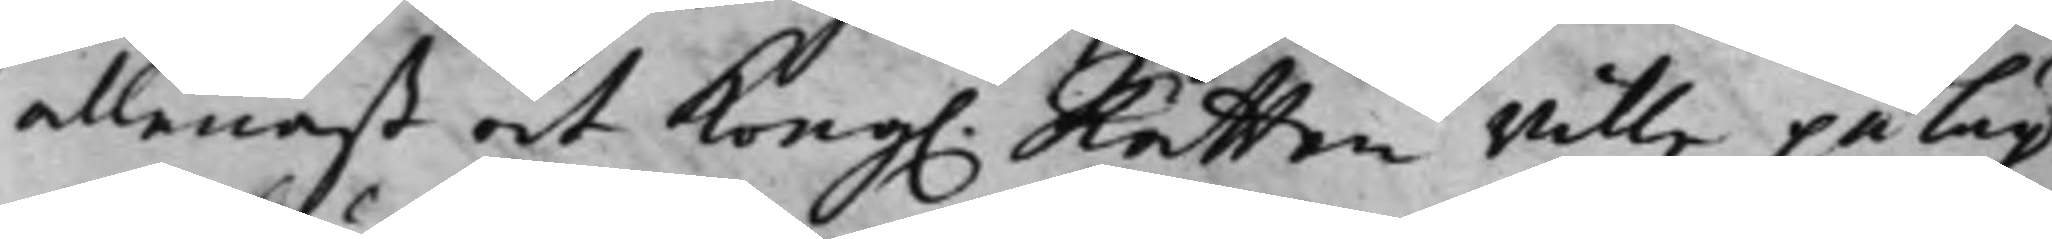allenast at Kong. Rätten wille påläg¬ 
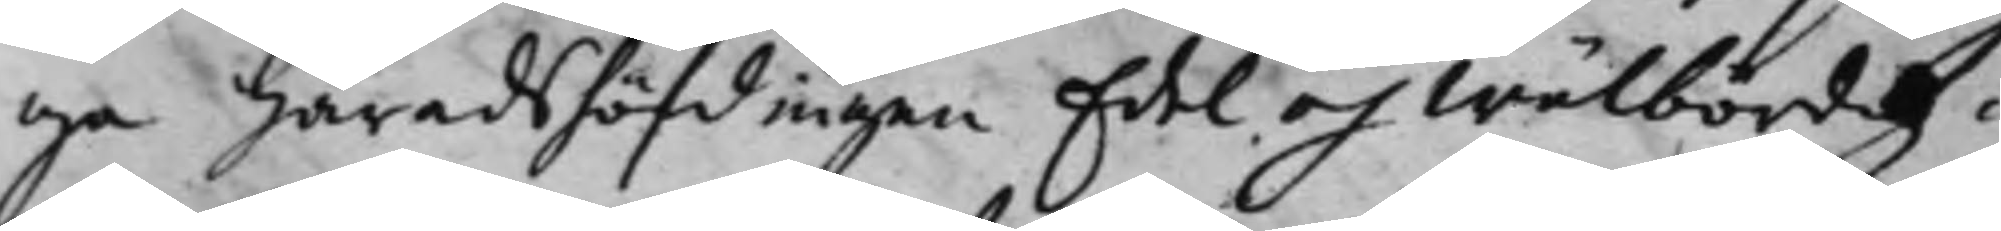ga Häradshöfdingen Edel och Wälbördig
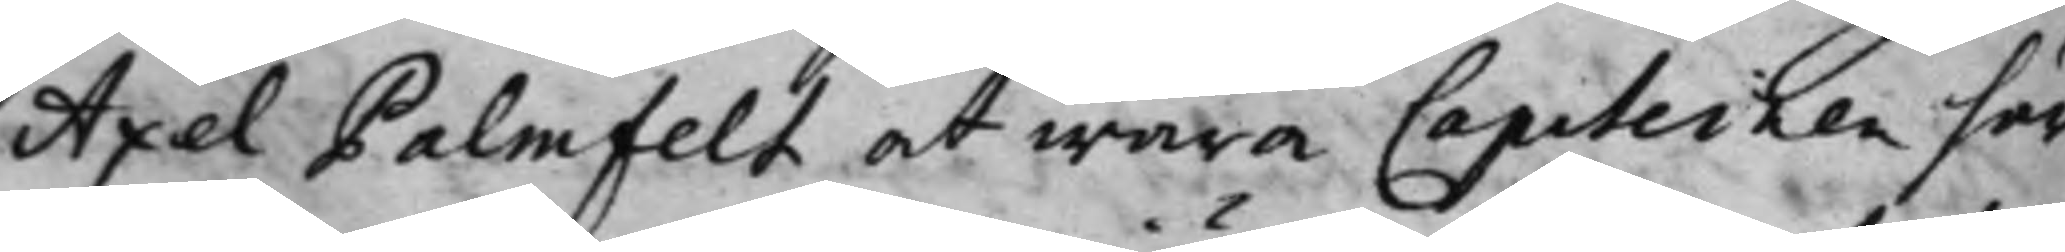Axel Palmfelt, at wara Capiteinen här¬
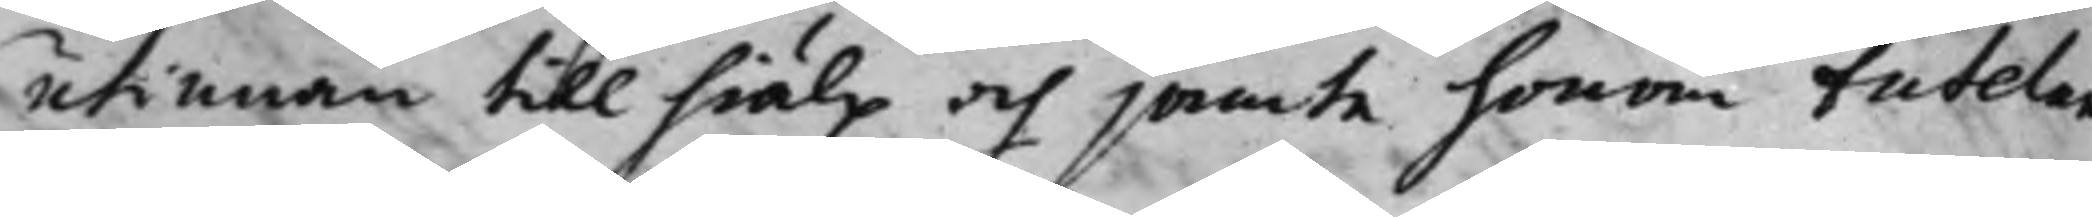utinnan till hiälp och jämte honom tutelam
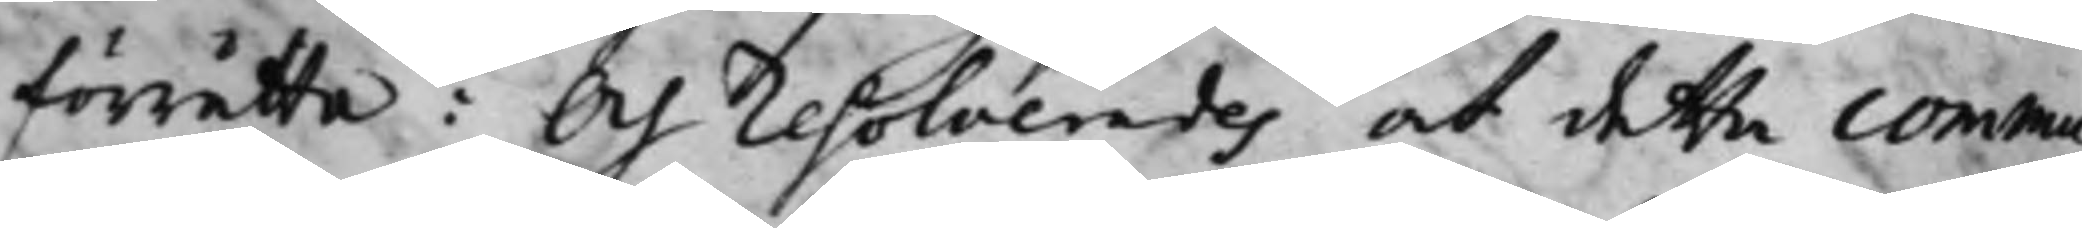förrätta: Och resolverades, och detta commu¬
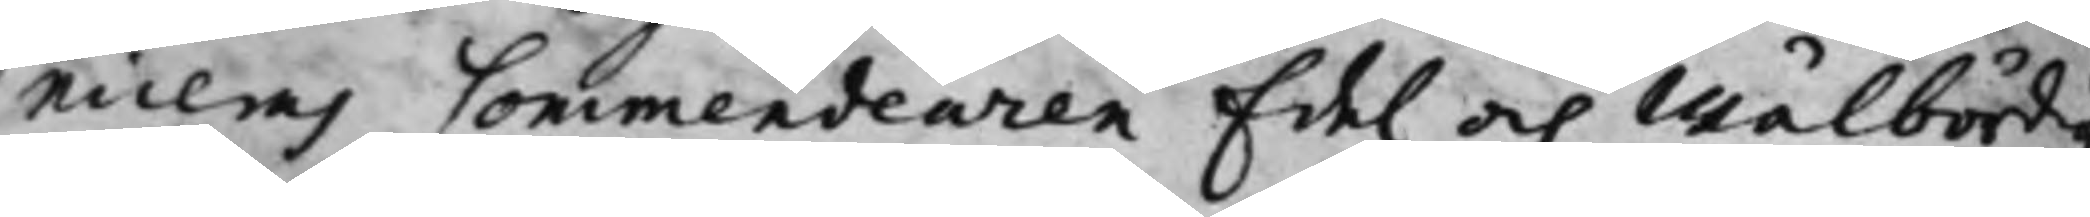niceras Commendeuren Edel och Wälbördig
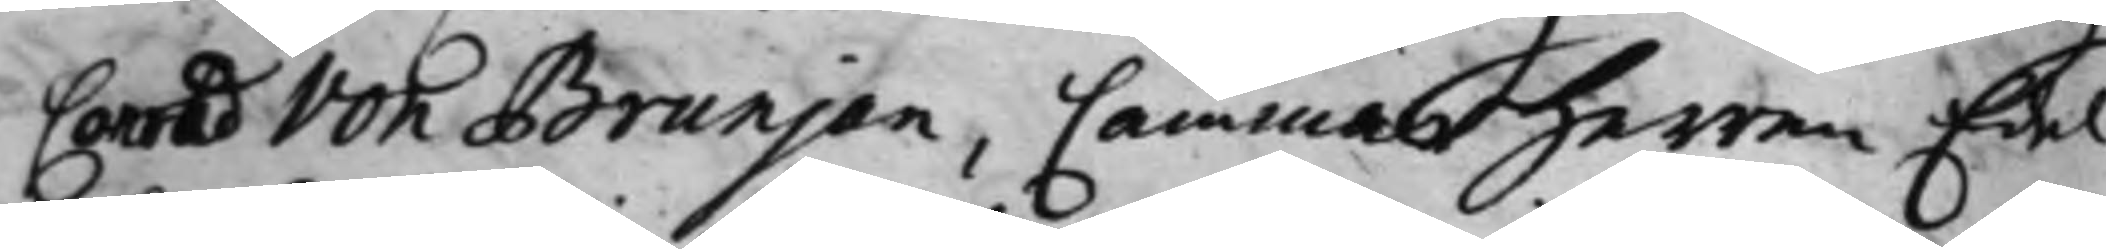Conrad von Brunjan, Cammarherren Edel
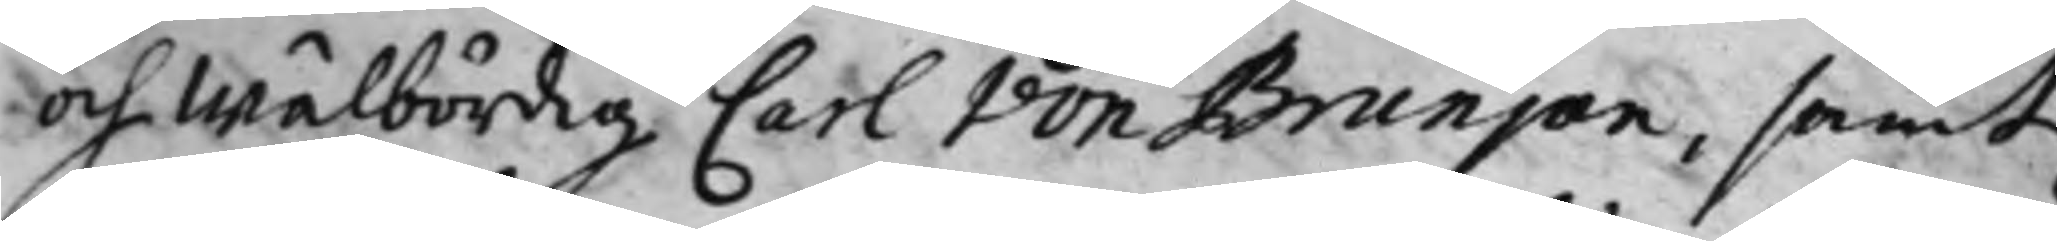och Wälbördig Carl von Brunjan, samt
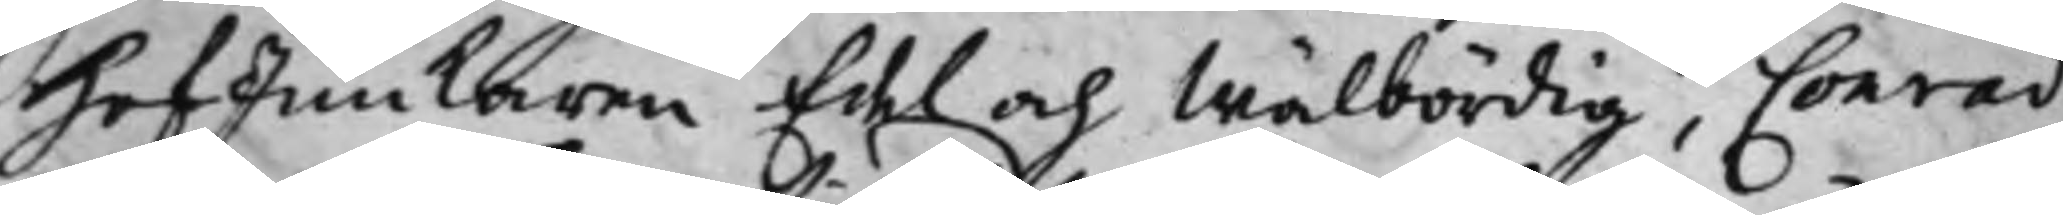HofJunkaren Edel och Wälbördig, Conrad
